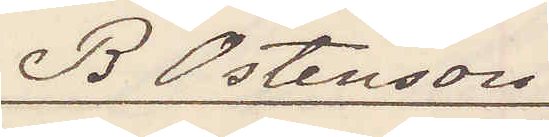B Östenson
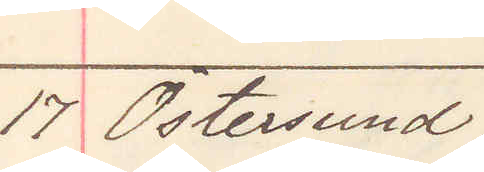17 Östersund.
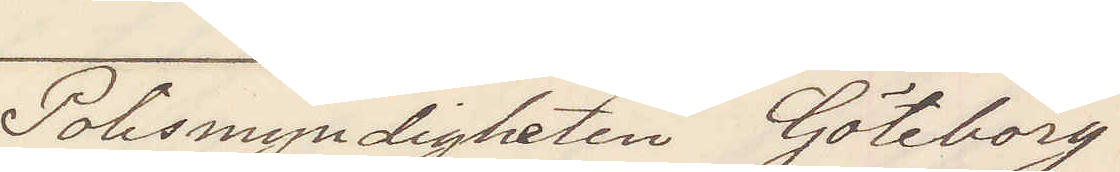Polismyndigheten Göteborg
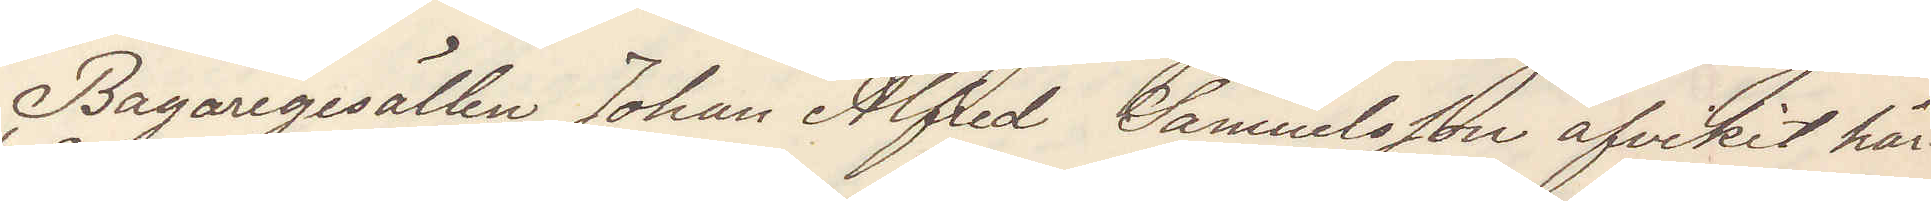Bagaregesällen Johan Alfred Samuelsson afvikit här¬
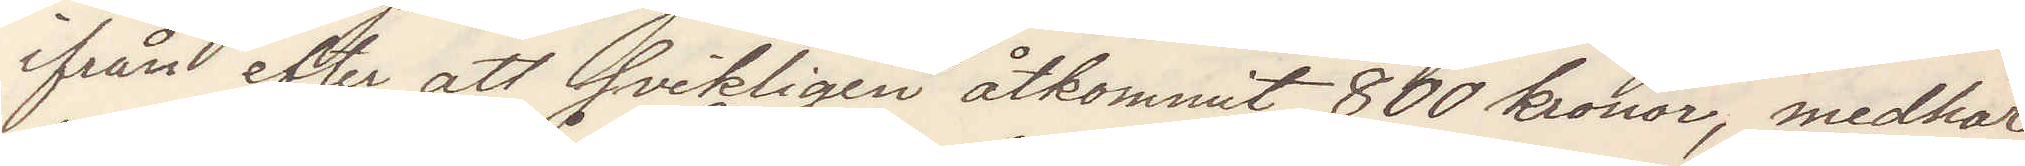ifrån efter att svikligen åtkommit 800 kronor, medhar
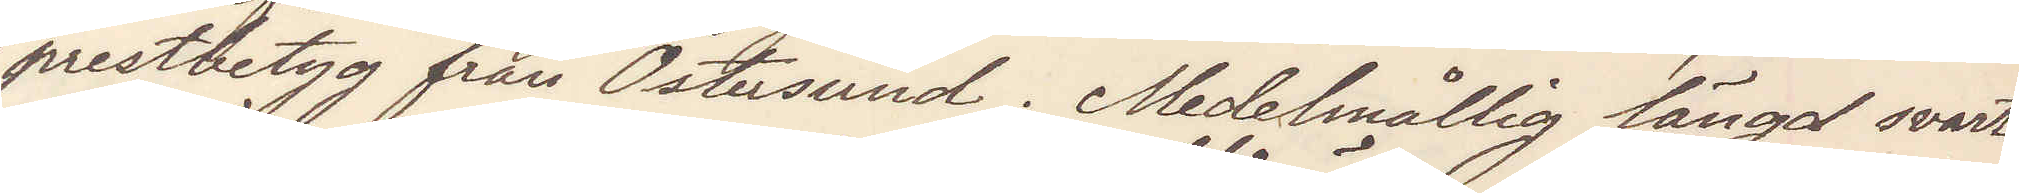prestbetyg från Östersund. Medelmåtlig längd svart
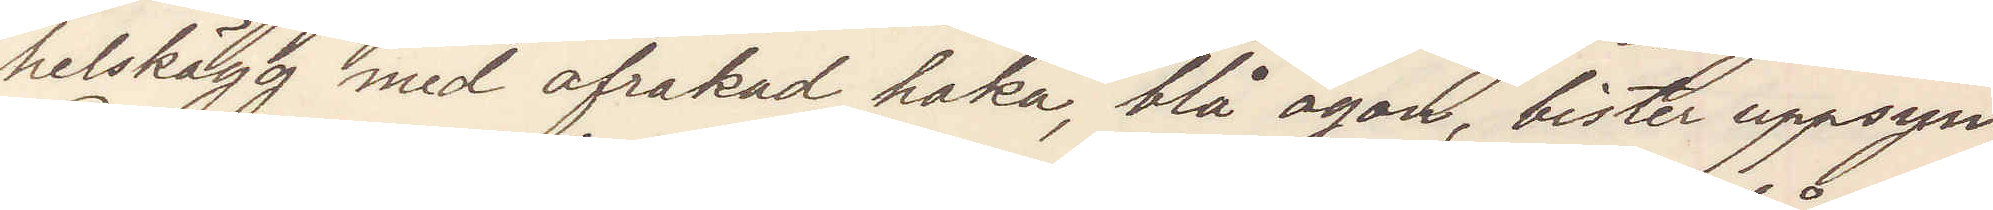helskägg med afrakad haka, blå ögon bister uppsyn.
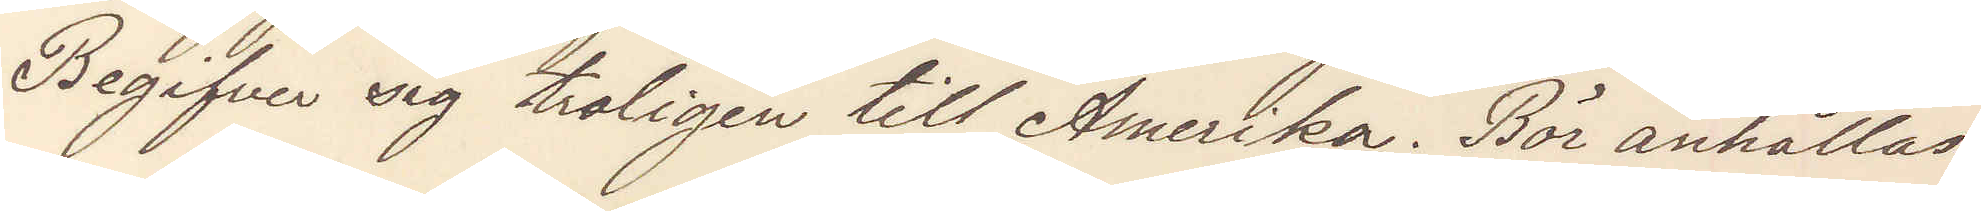Begifver sig troligen till Amerika. Bör anhållas.
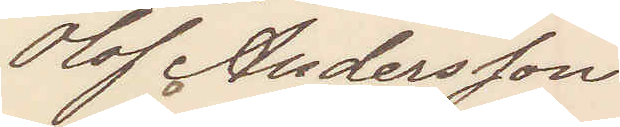Olof Andersson
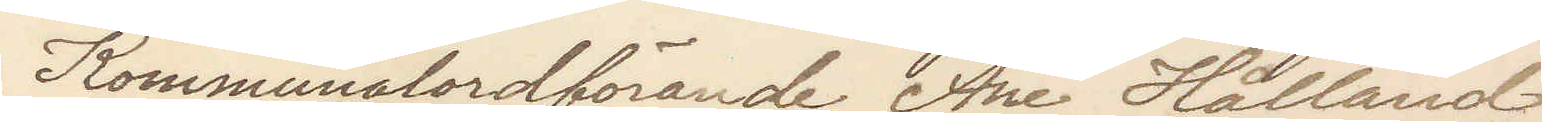Kommunalordförande Åre Hålland
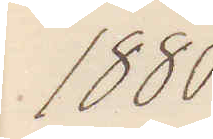1880
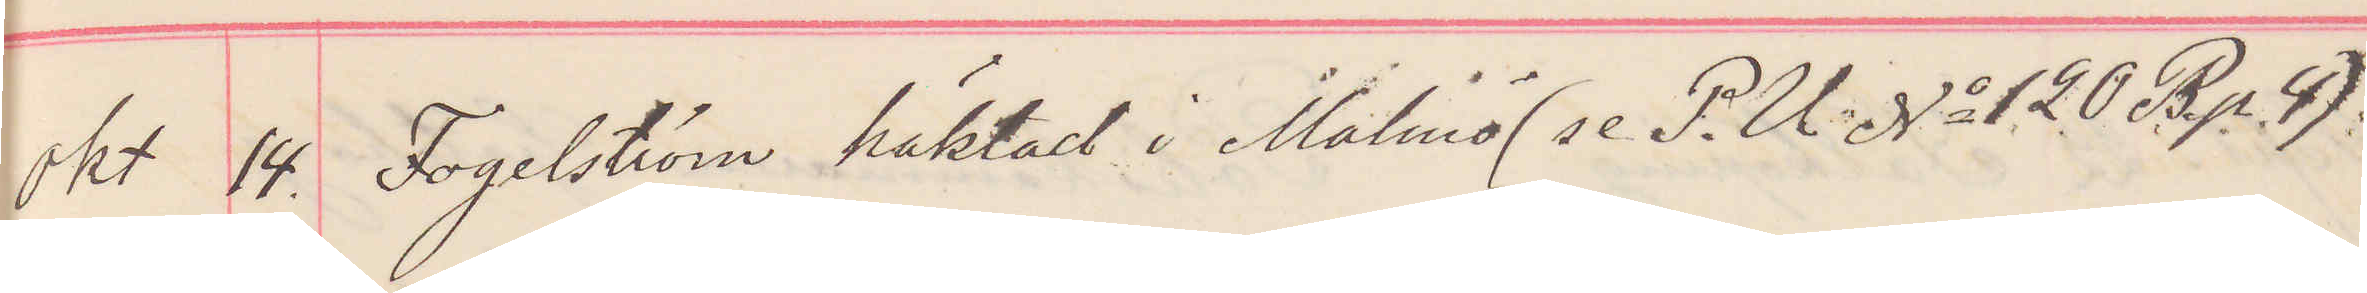Okt 14. Fogelström häktad i Malmö (se P. U No 120 B p 4)
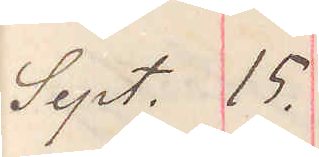Sept. 15.
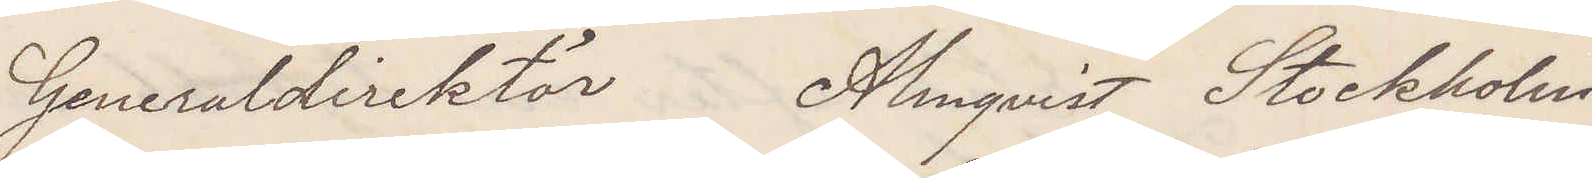Generaldirektör Almqvist Stockholm.
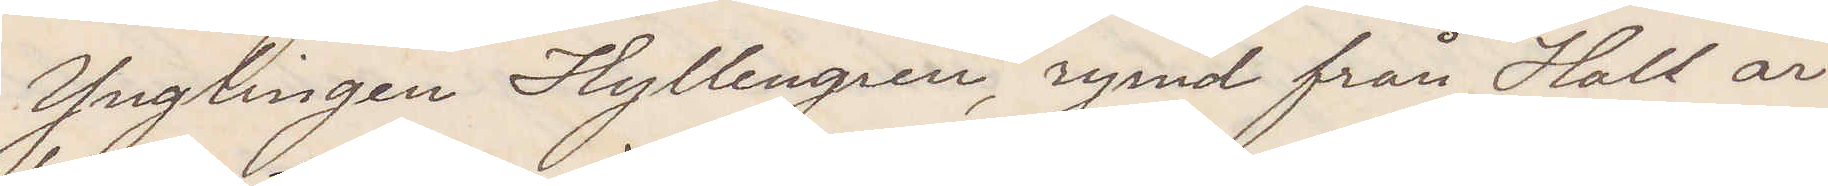Ynglingen Hyllengren rymd från Hall är
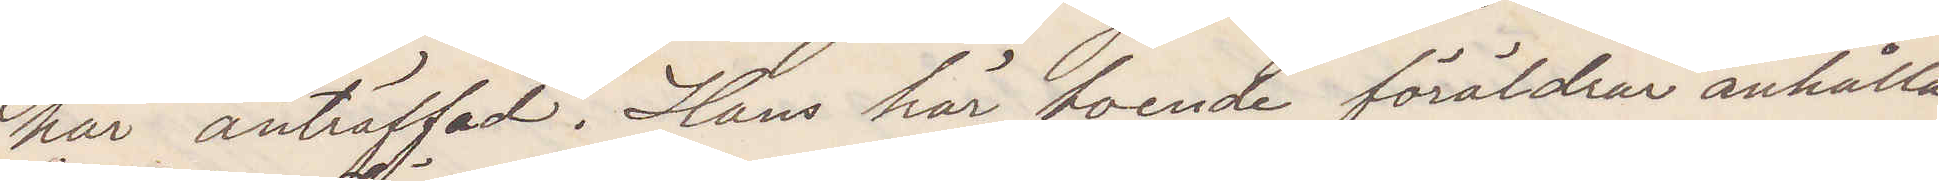här anträffad Hans här boende föräldrar anhålla
